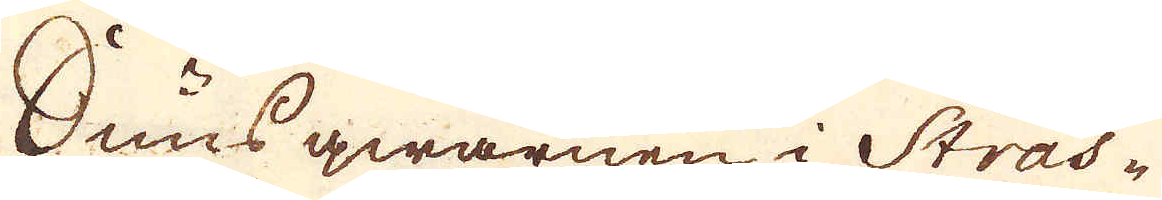Snusqwarnen i Stras-
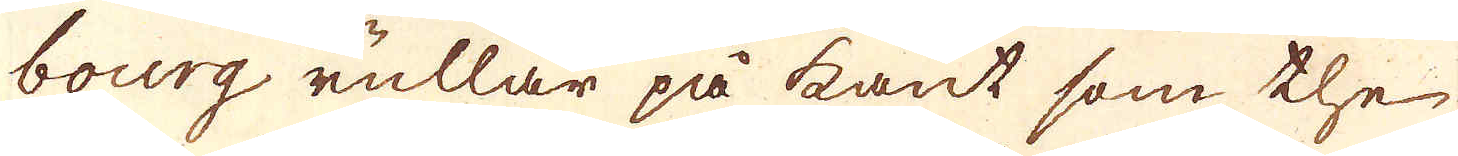bourg rullar på kant som the
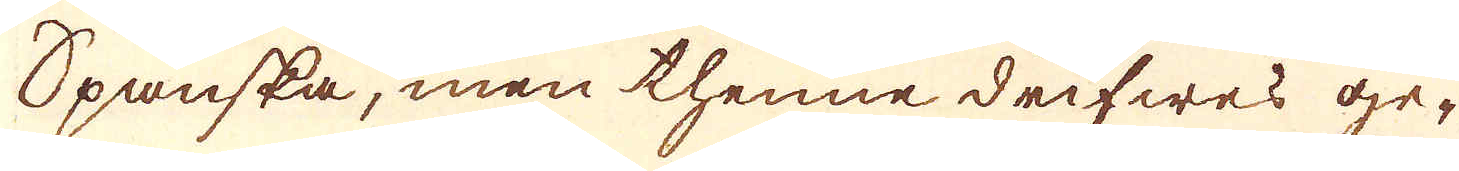Spanska, men thenne drifwes ge-
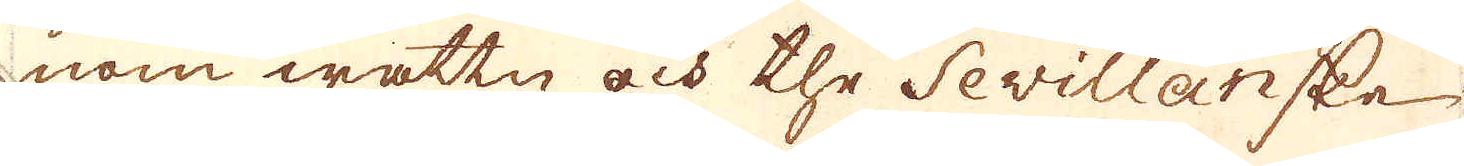nom wattn och the Sevillanske
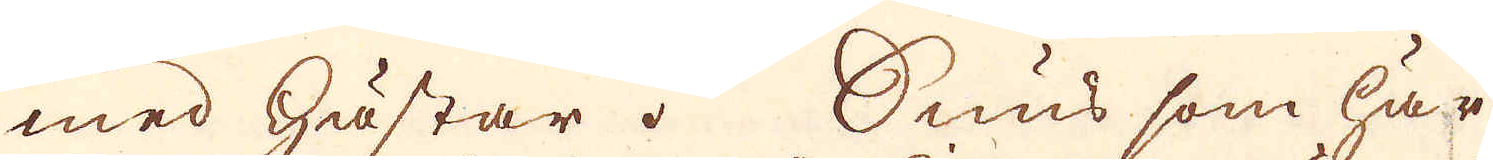med hästar. Snus som här
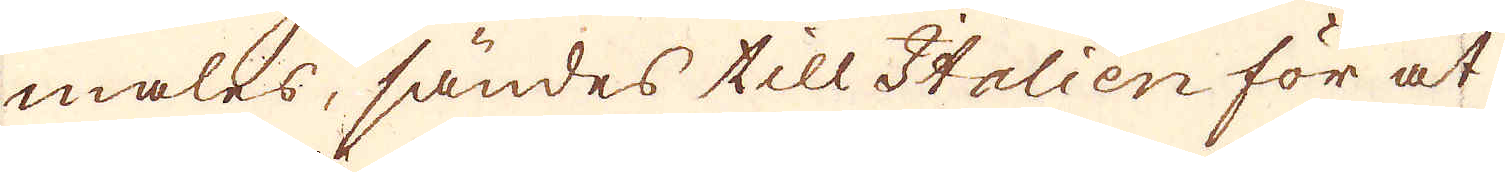males, sändes till Italien för at
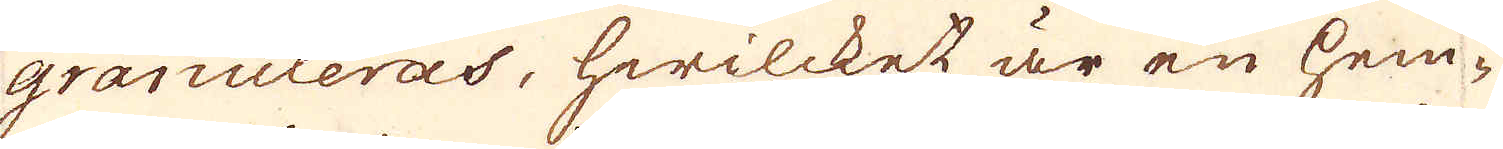granuleras, hwilcket är en hem-
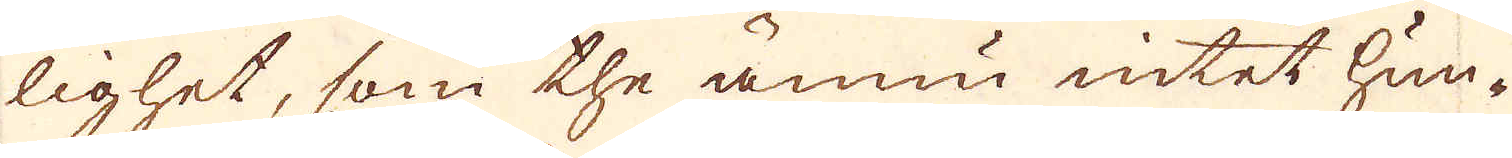lighet, som the ännu intet hun-
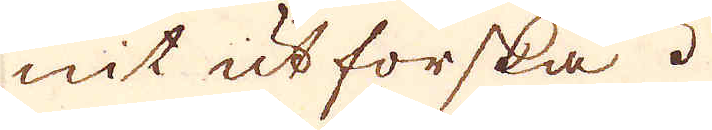nit utforska.
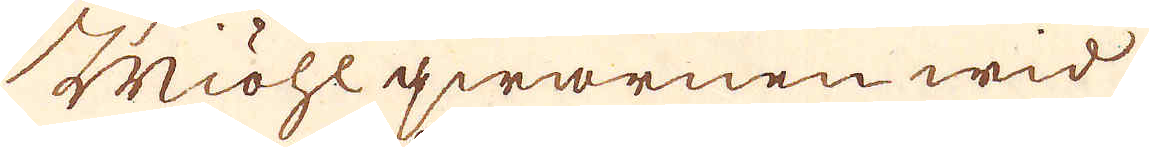Miöhlqwarnen wid
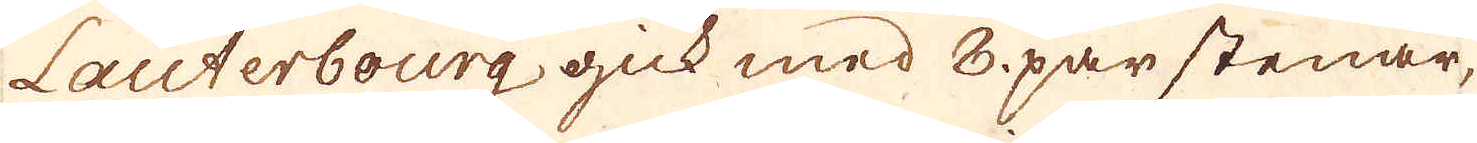Lauterbourg gick med 8 par stenar,
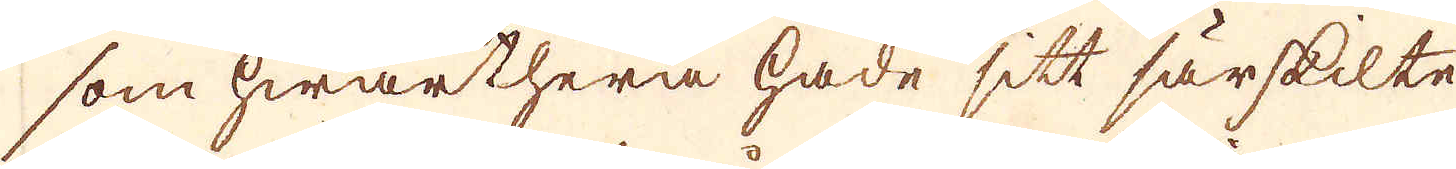som hwarthera hade sitt särskilte
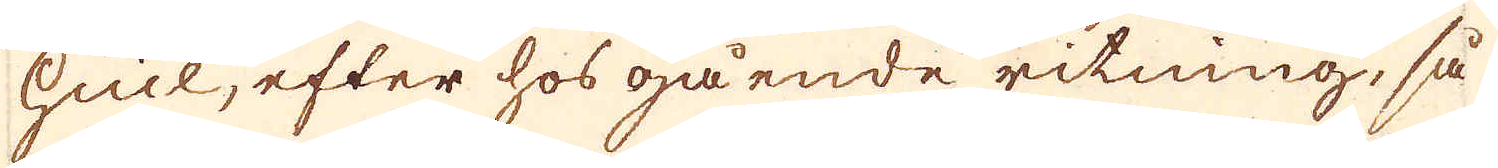hiul, efter hos gående ritning, så
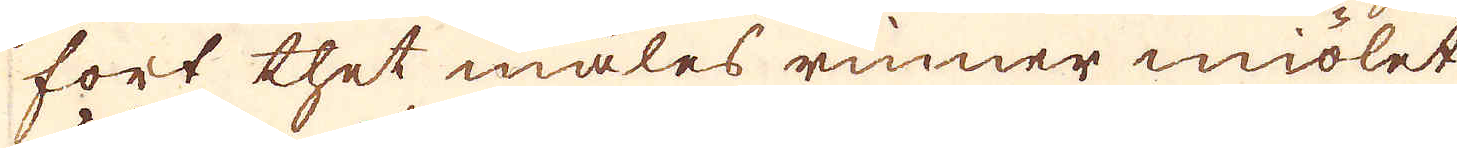fort thet males rinner miölet
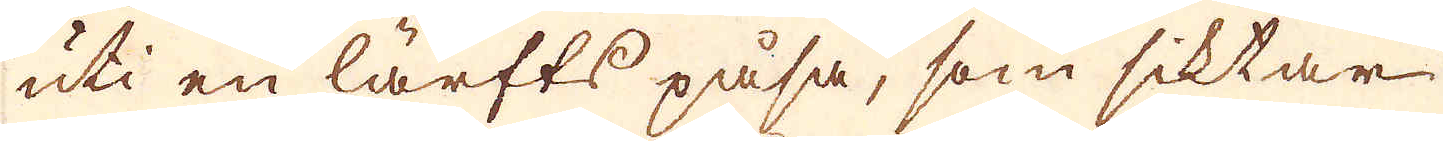uti en lärfts påsa, som siktar
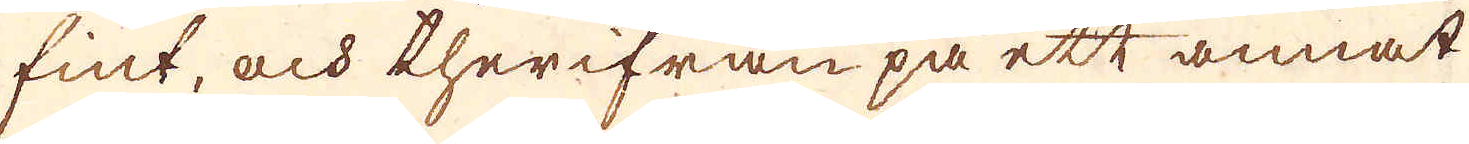fint, och therifrån på ett annat
